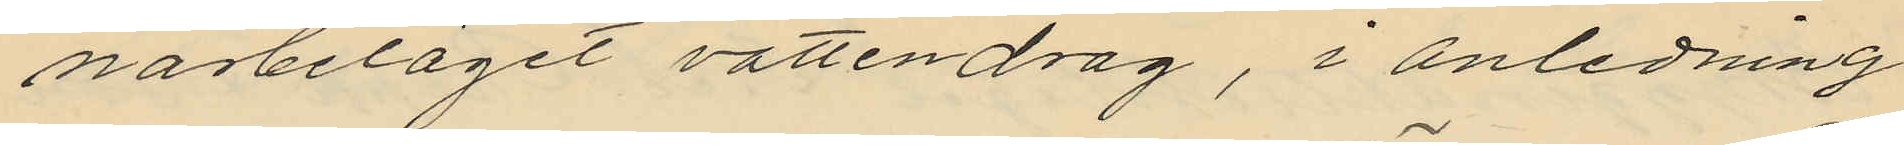närbeläget vattendrag, i anledning
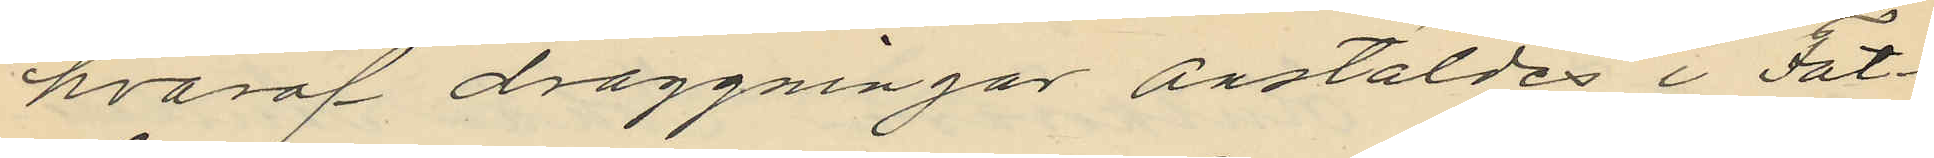hvaraf draggningar anstäldes i Fat¬
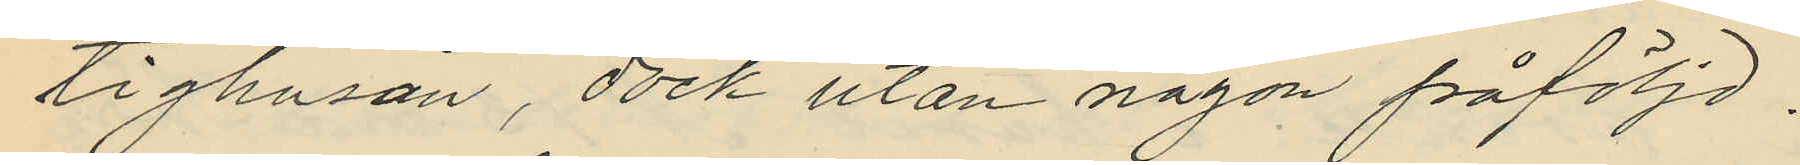tighusån, dock utan någon påföljd.
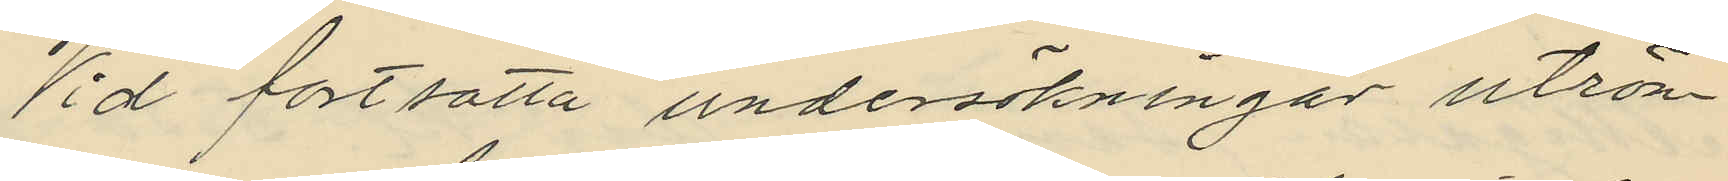Vid fortsatta undersökningar utrön¬
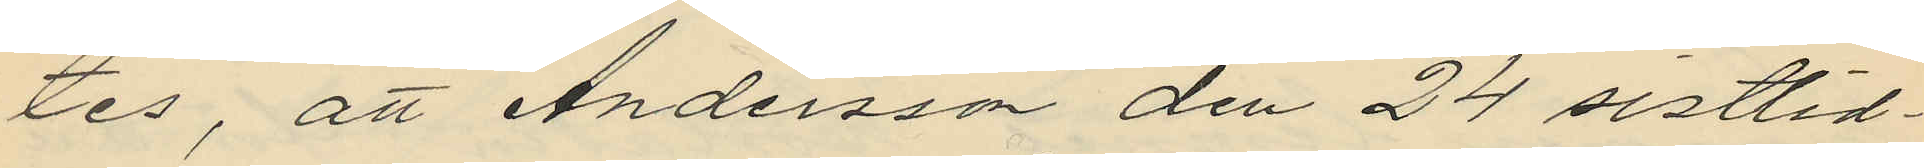tes, att Andersson den 24 sistlid¬
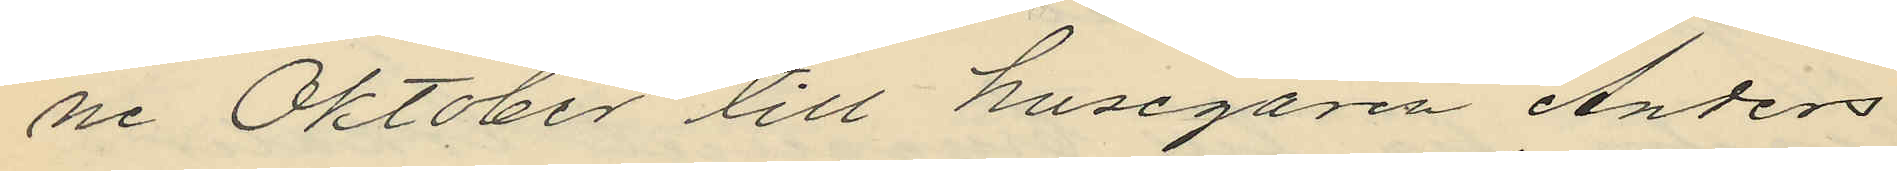ne Oktober till husegaren Anders
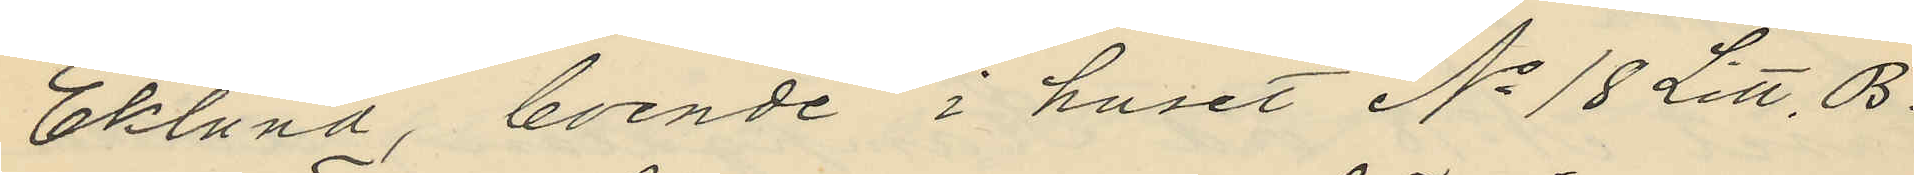Eklund, boende i huset No 18 Litt. B.
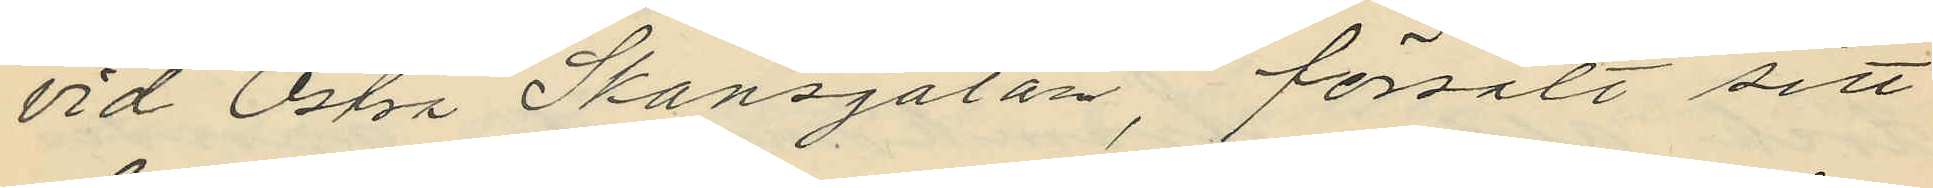vid Östra Skansgatan, försålt sitt
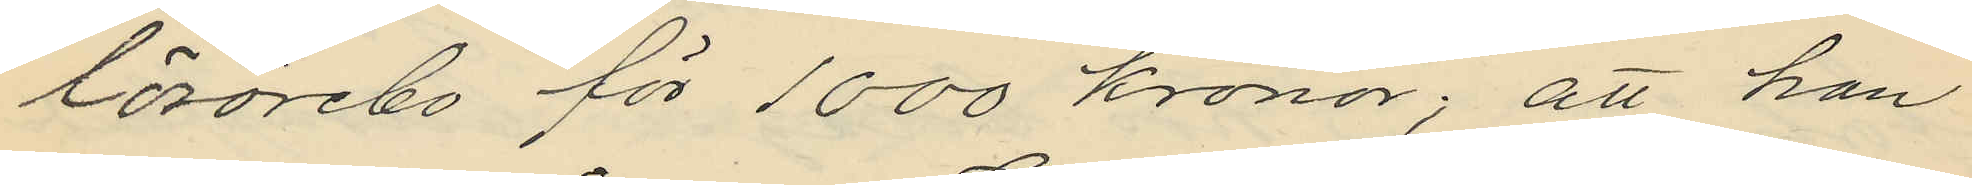lösörebo för 1000 kronor; att han
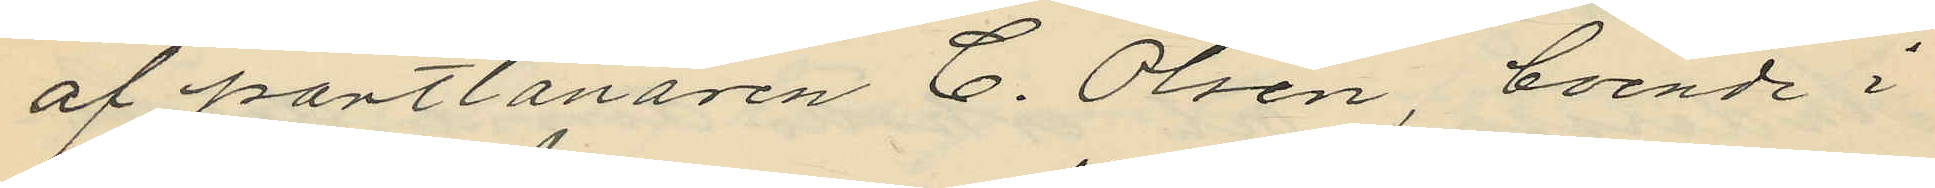af pantlånaren C. Olsén, boende i
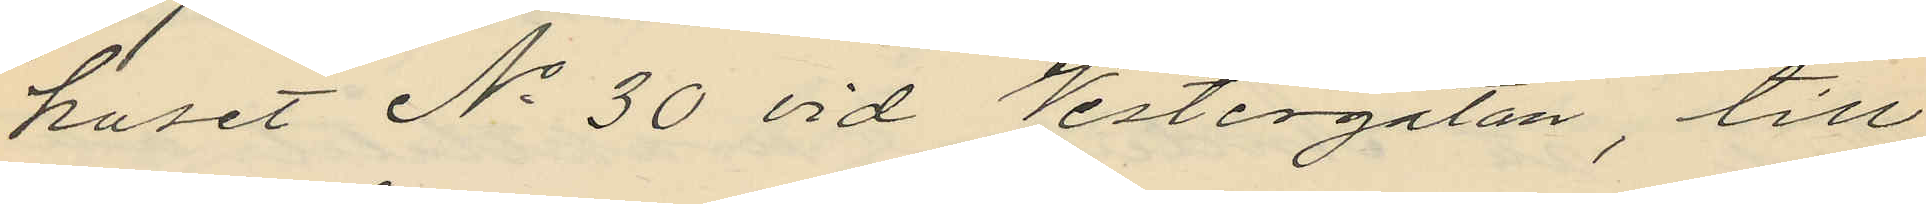huset No 30 vid Vestergatan, till
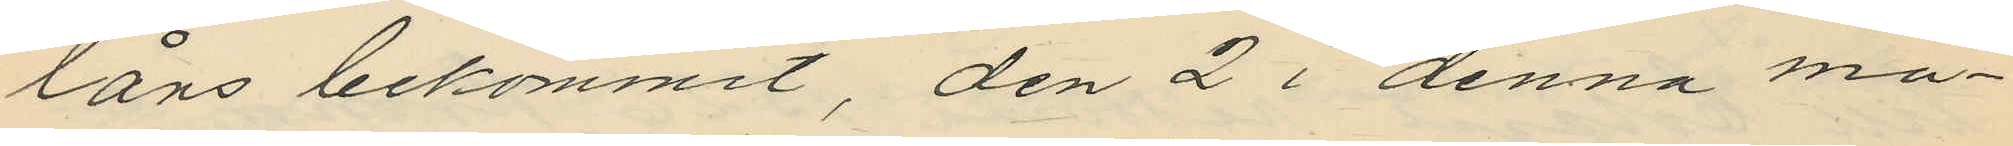låns bekommit, den 2 i denna må¬
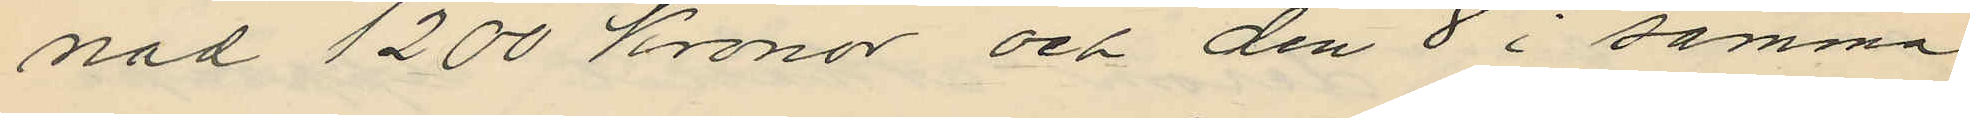nad 1200 kronor och den 8 i samma
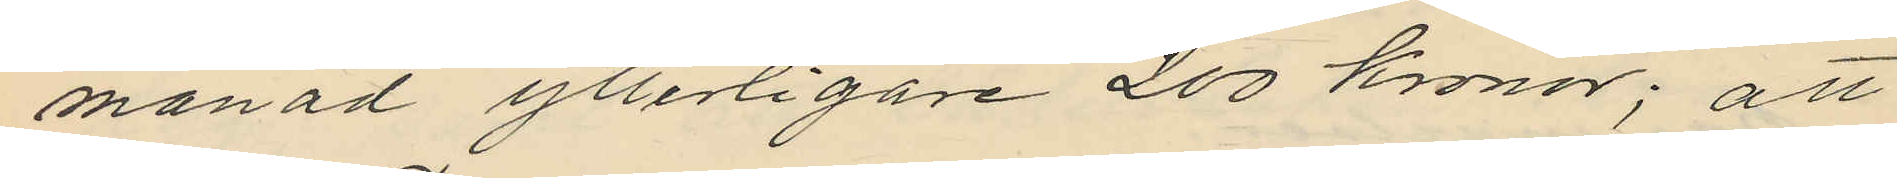månad ytterligare 200 kronor; att
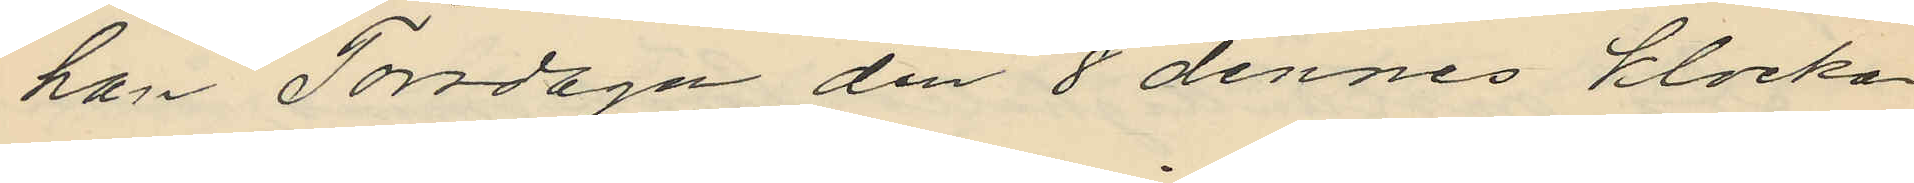han Torsdagen den 8 dennes klockan
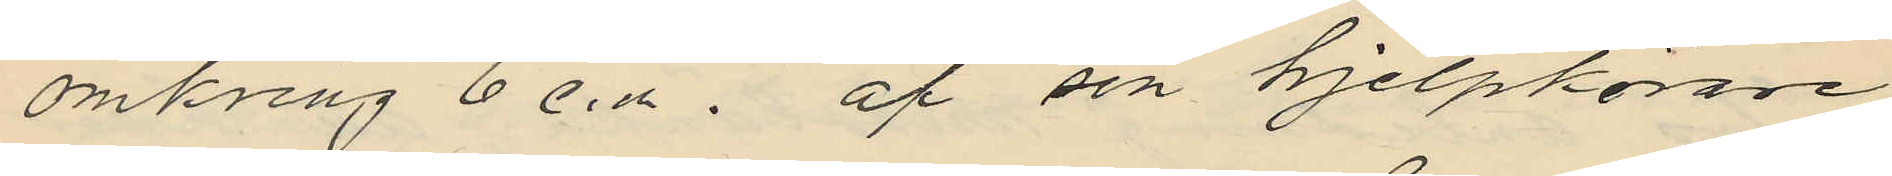omkring 6 e. m. af sin hjelpkörare
